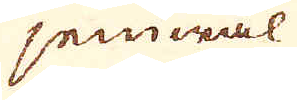jemwäl
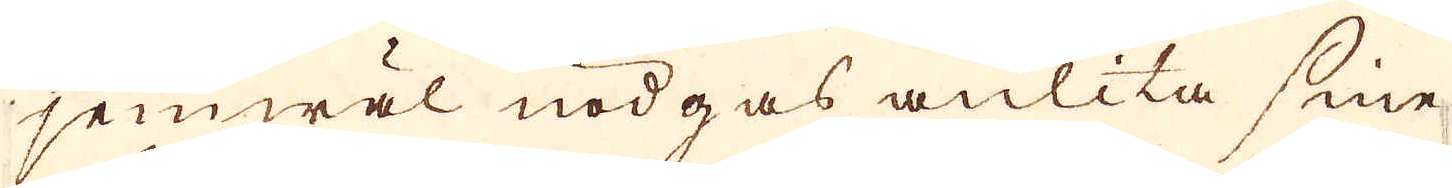jemwäl nödgas anlita sine
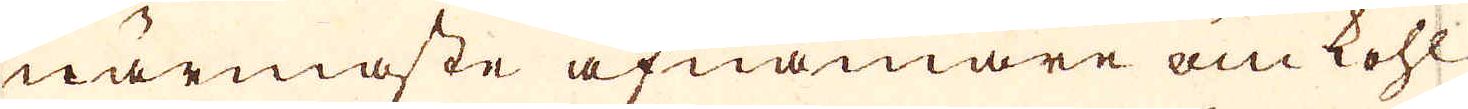närmaste afnämare om kohl
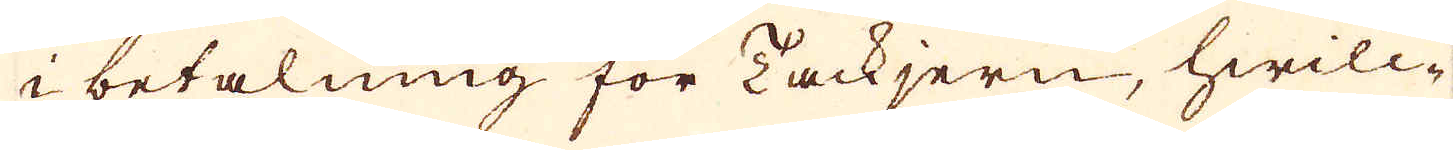i betalning för Tackjern, hwilc-
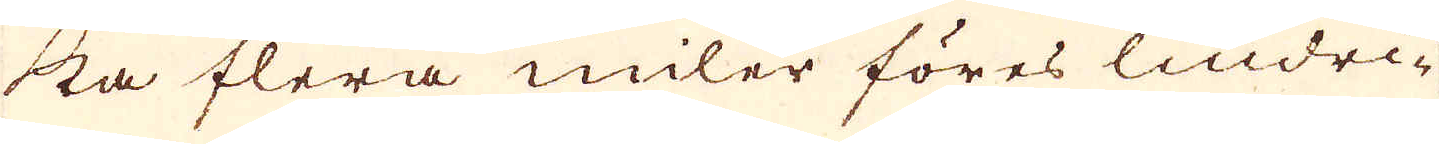ka flera miler föres lindri-
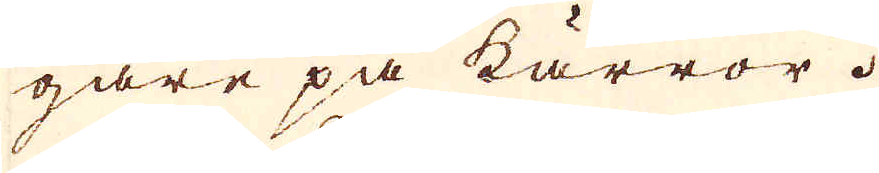gare på kärror.
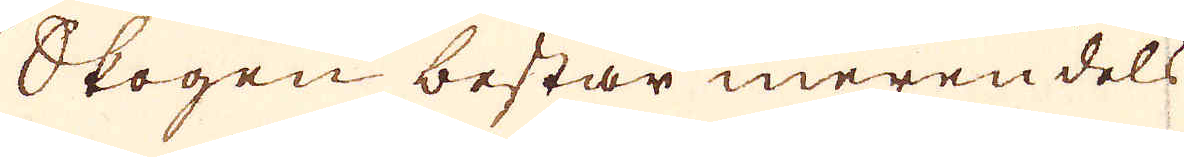Skogen består meren dels
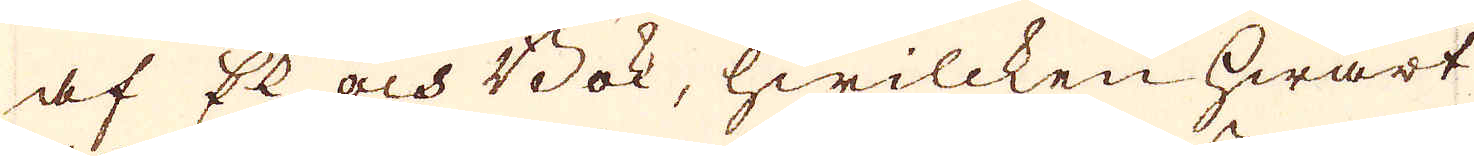af Ek och Bok, hwilcken hwart
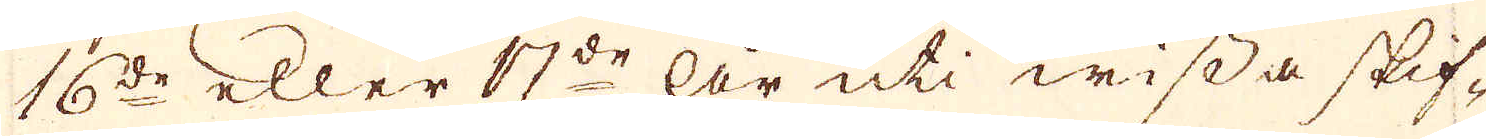16de eller 17de är uti wissa skif-
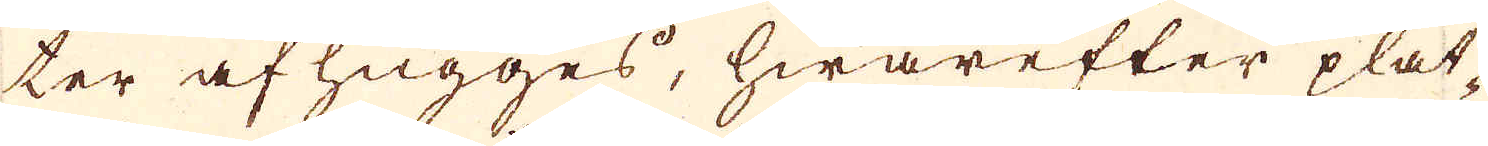ter af hugges, hwarefter plat-
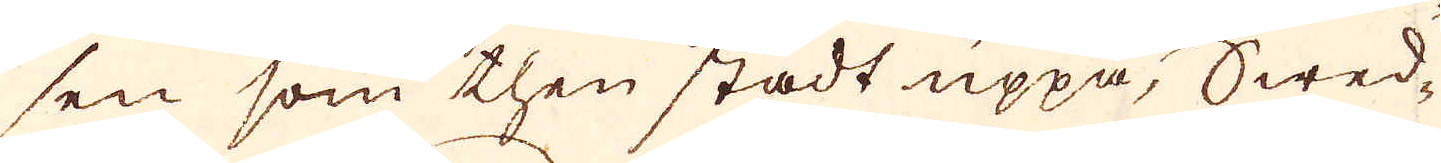sen som then städt uppå, Swed-
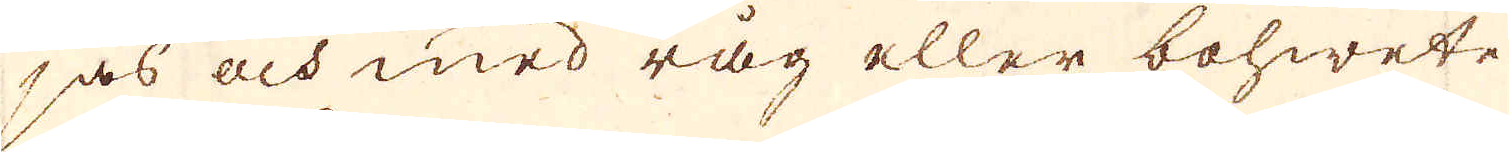jas och med råg eller bohwete
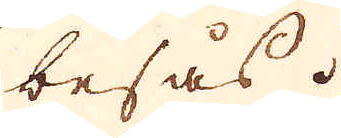besås.
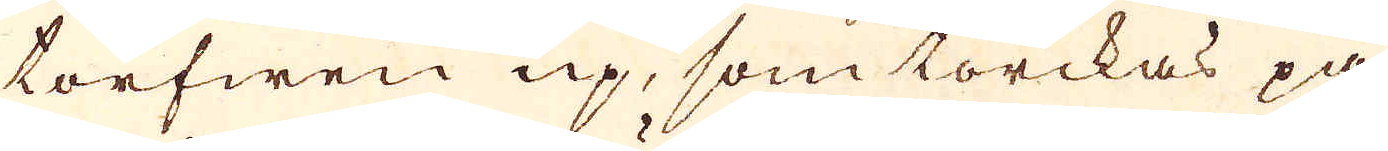torfwen up, som torckas på
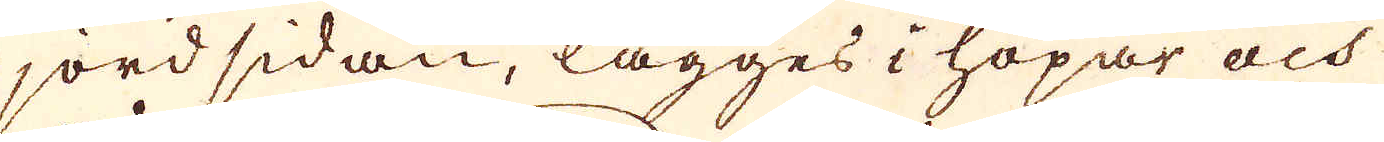jordsidan, lägges i hopar och
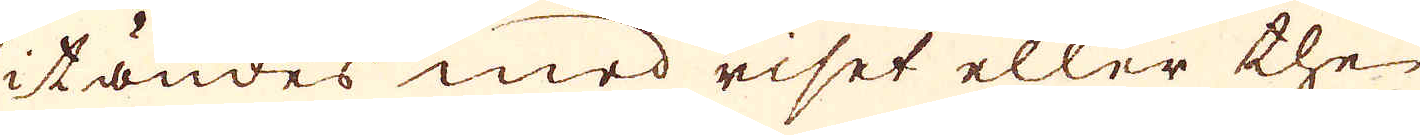itändes med riset eller the
